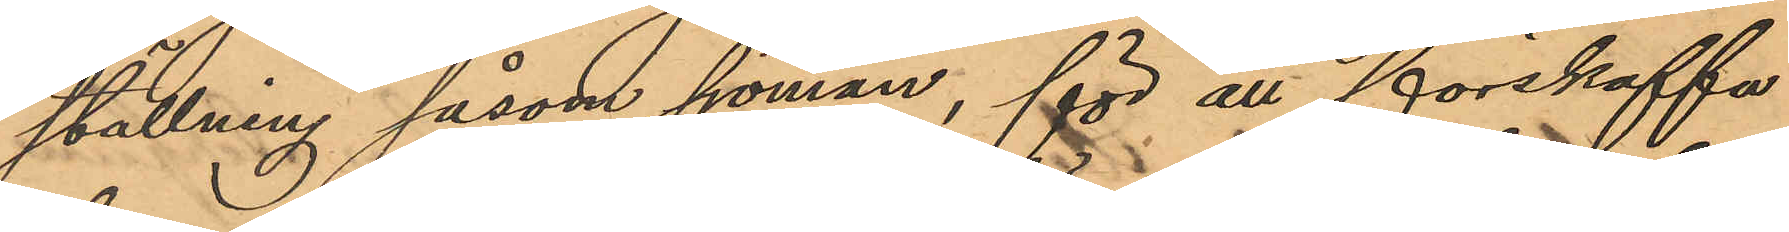ställning såsom sjöman, för att förskaffa
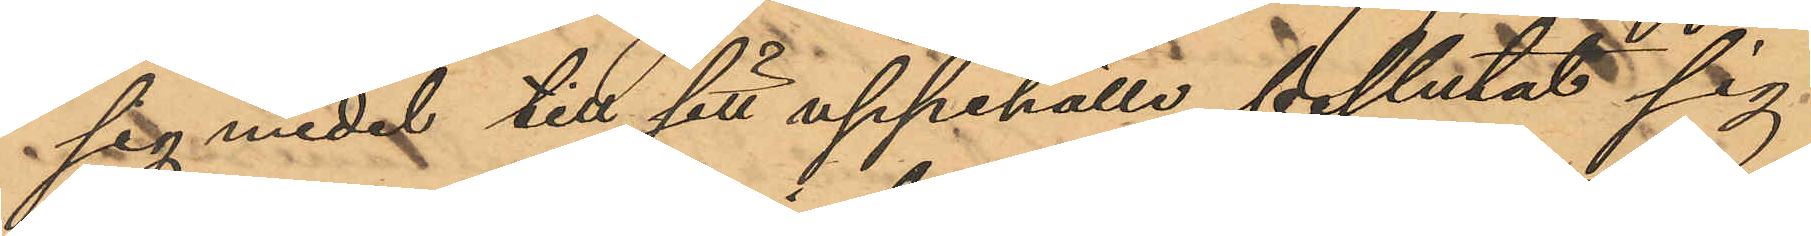sig medel till sitt uppehälle beslutat sig
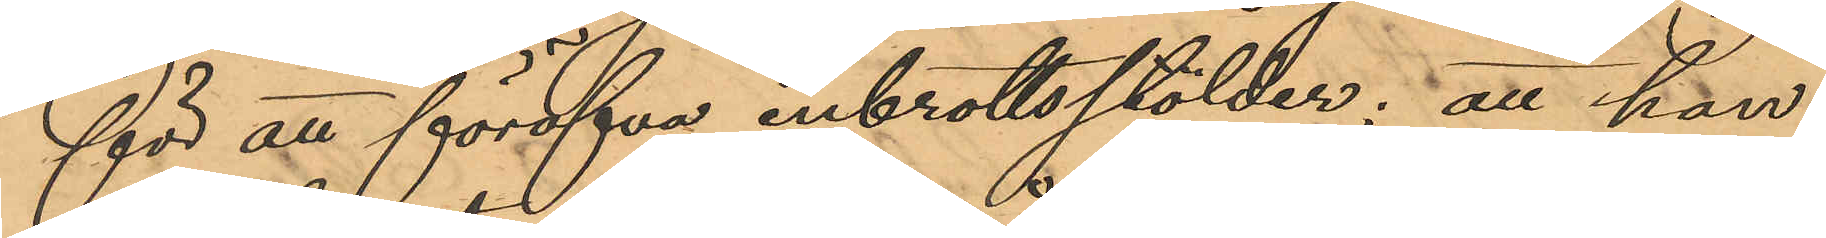för att föröfva inbrottsstölder; att han
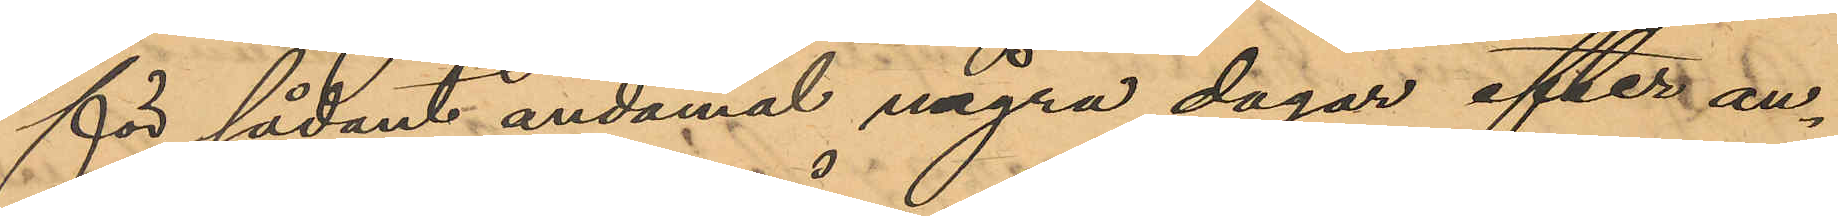för sådant ändamål några dagar efter an¬
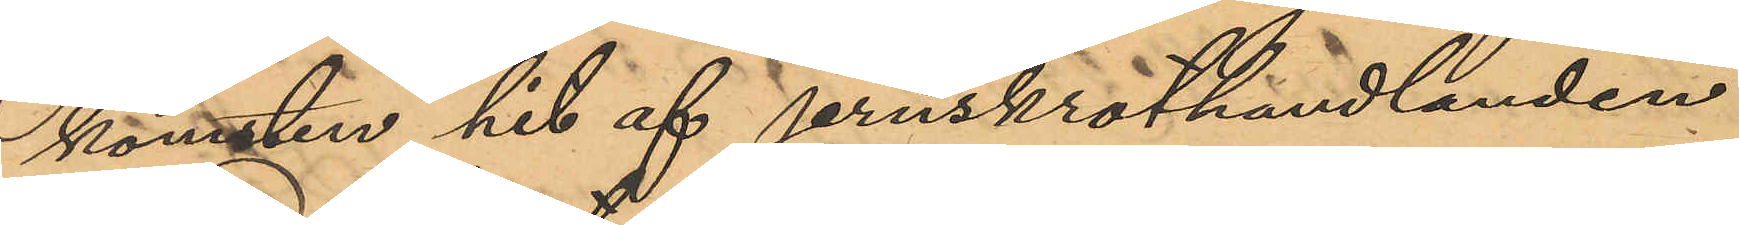komsten hit af jernskrothandlanden
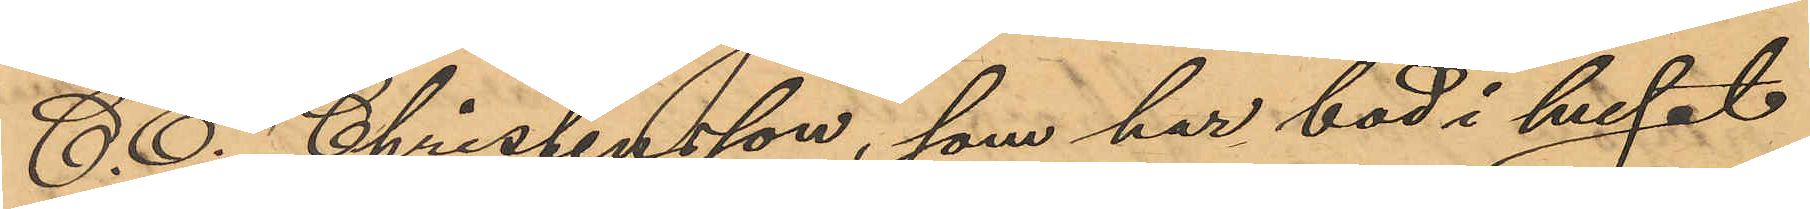C. E. Christensson, som har bod i huset
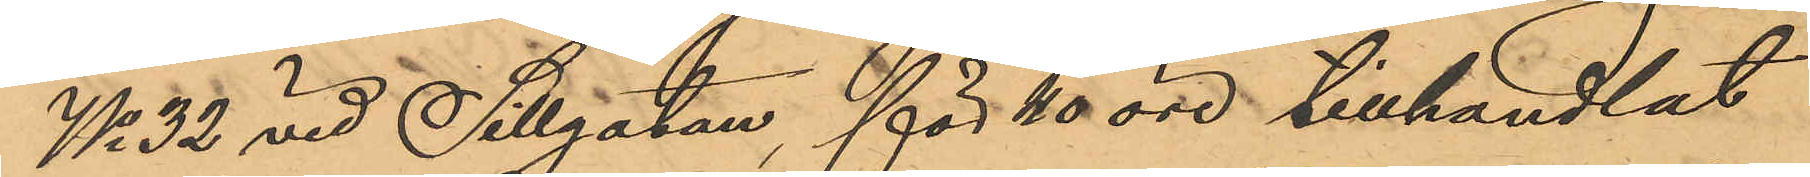No 32 vid Sillgatan, för 40 öre tillhandlat
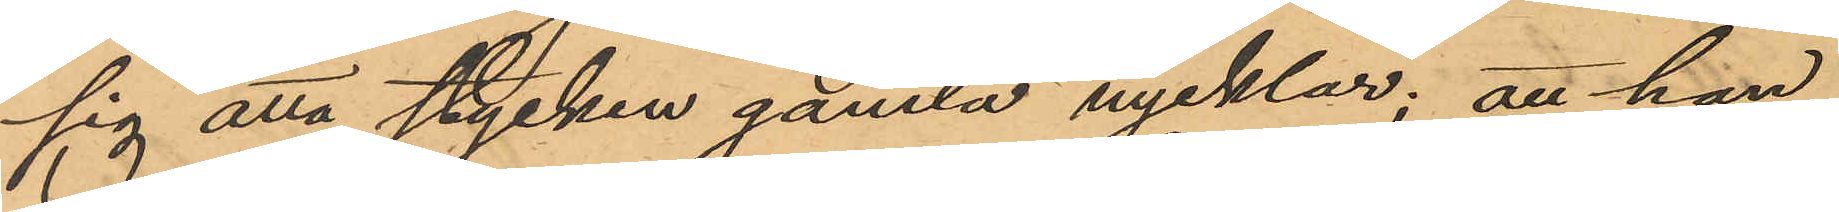sig åtta stycken gamla nycklar; att han
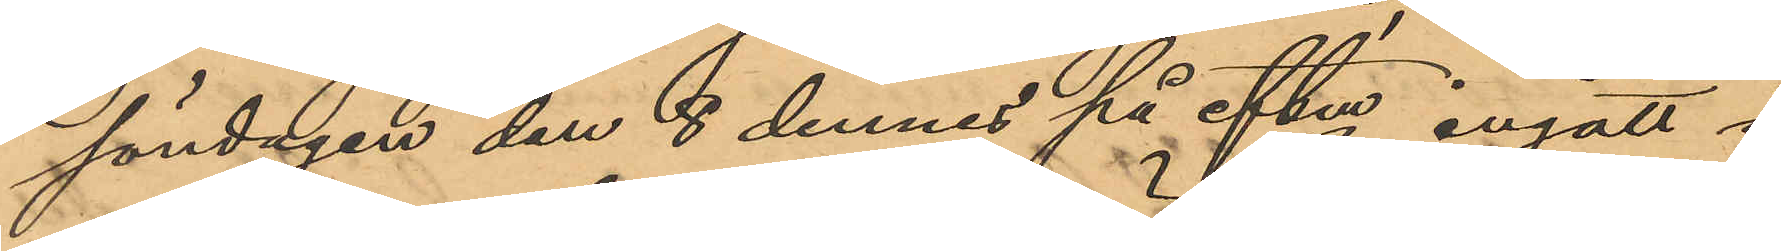söndagen den 8 dennes på eftm ingått i
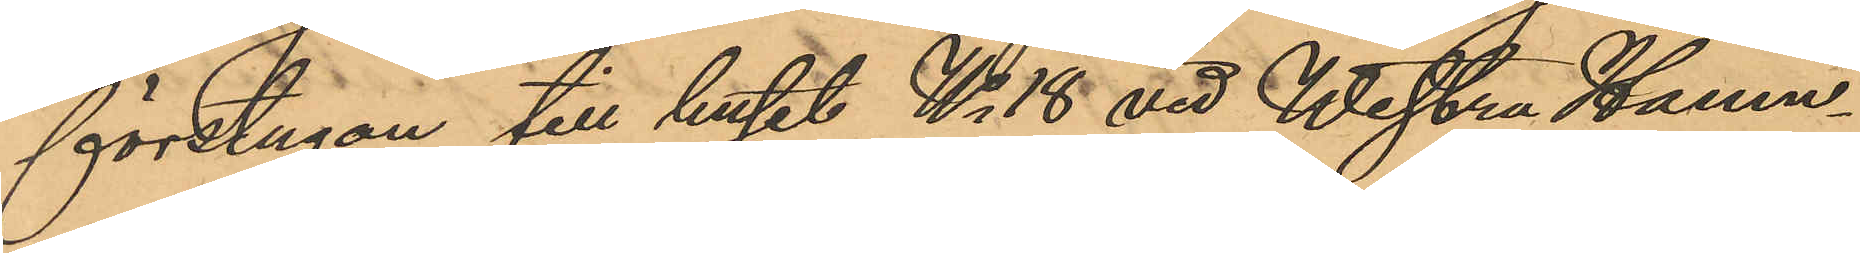förstugan till huset No 18 vid Westra Hamn¬
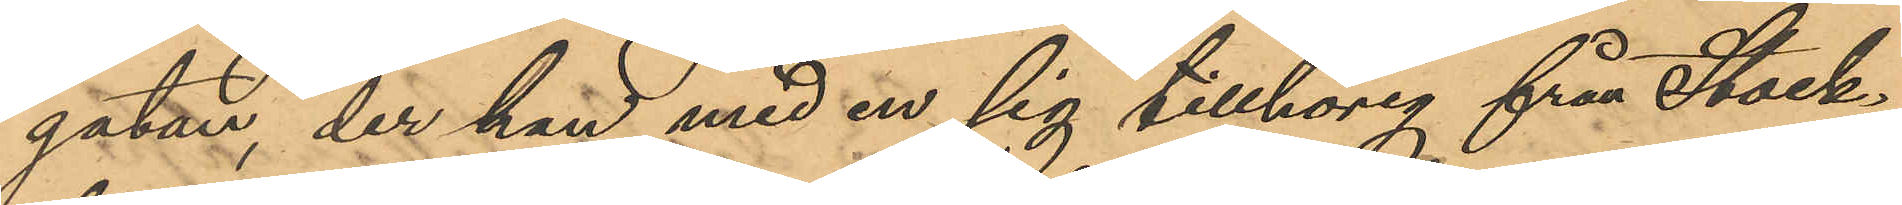gatan, der han med en sig tillhörig från Stock¬
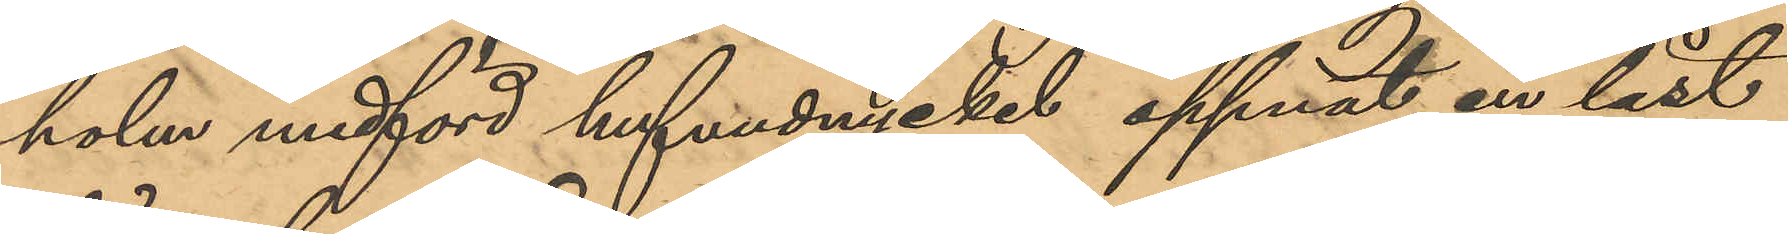holm medförd hufvudnyckel öppnat en låst
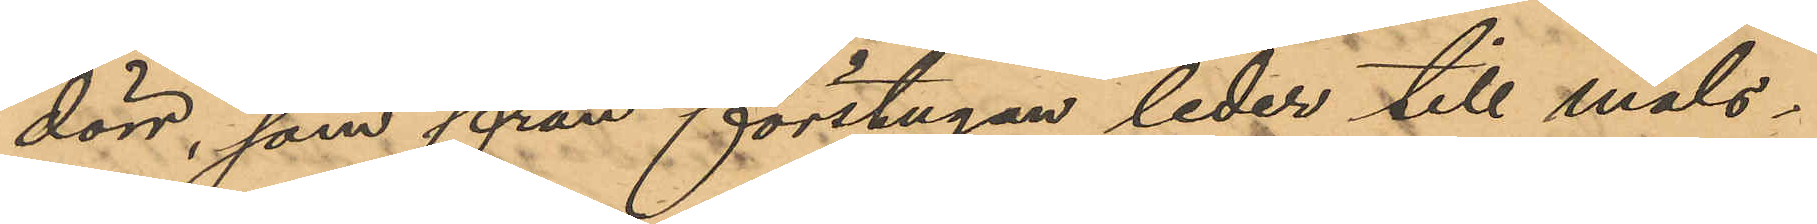dörr, som från förstugan leder till måls¬
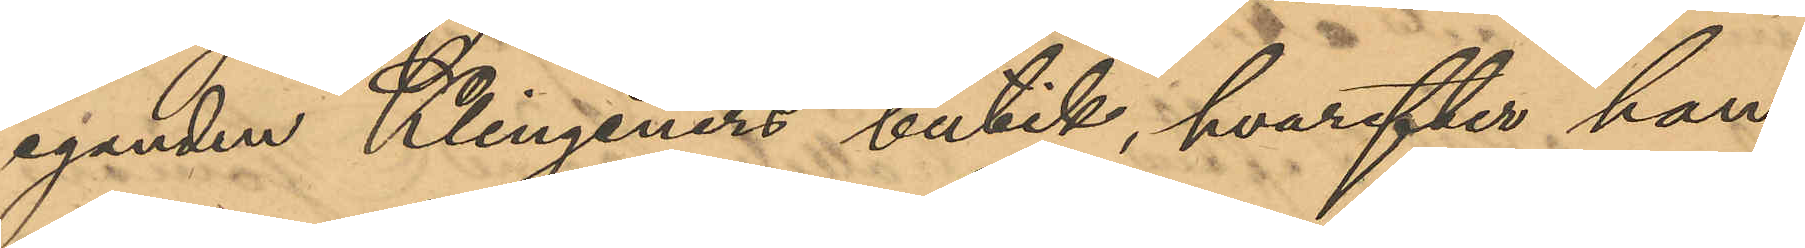eganden Klingeners butik, hvarefter han
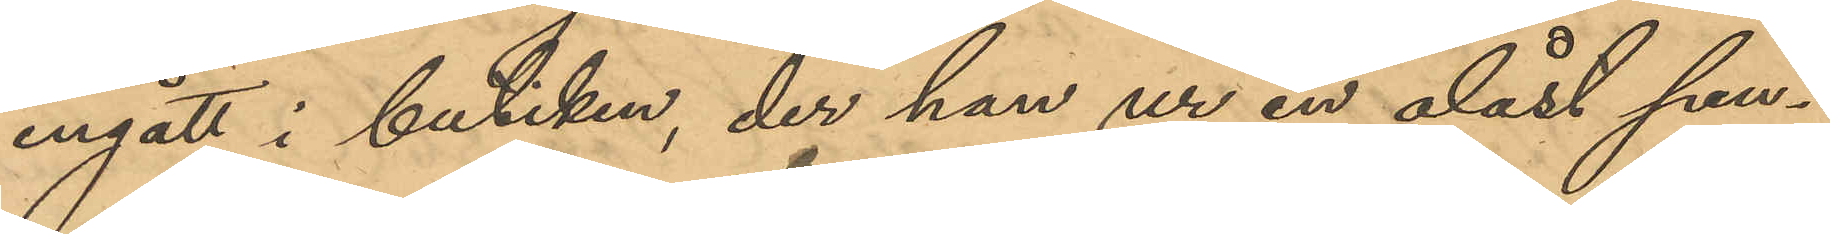ingått i butiken, der han ur en olåst pen¬
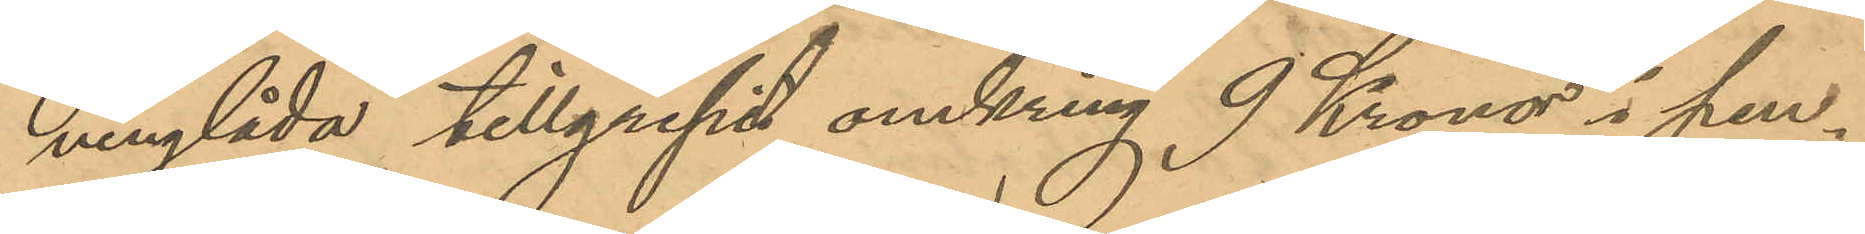ninglåda tillgripit omkring 9 Kronor i pen¬
